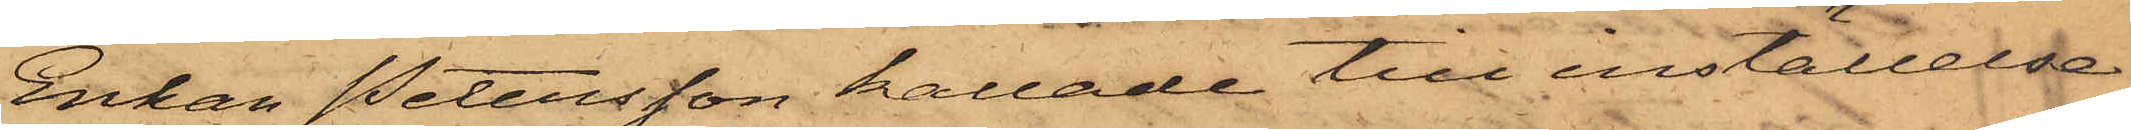Enkan Petersson kallade till inställelse
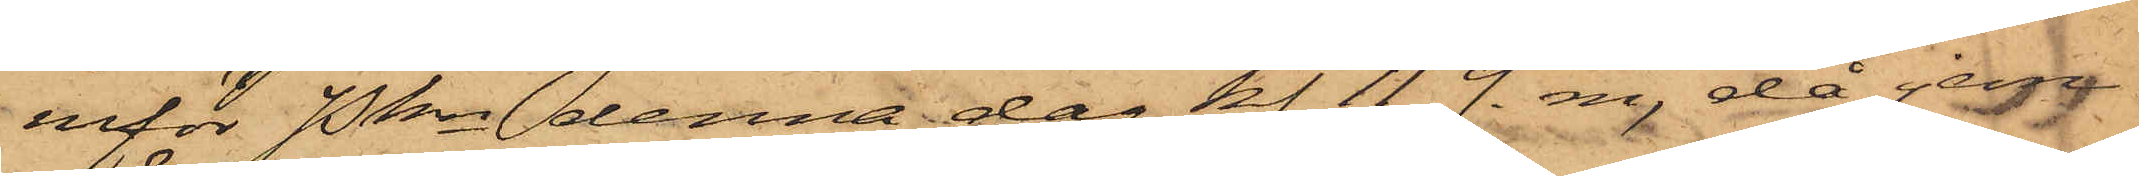inför Pkn denna dag kl. 11 f. m. då jem¬
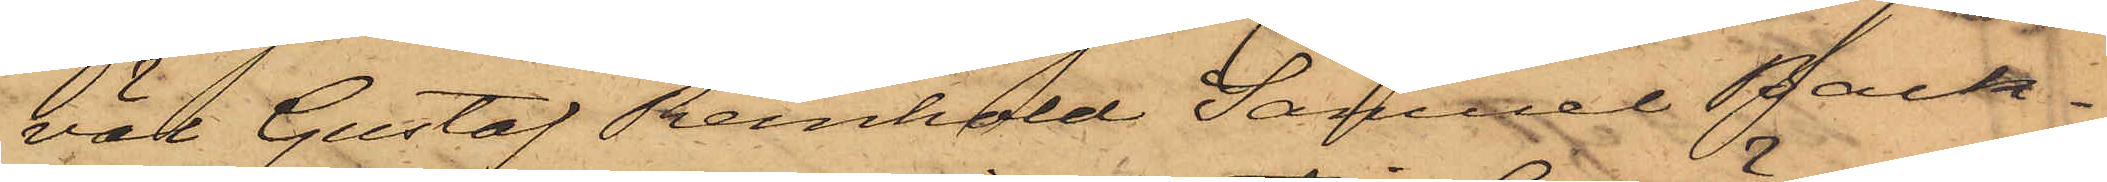väl Gustaf Reinhold Samuel Back¬
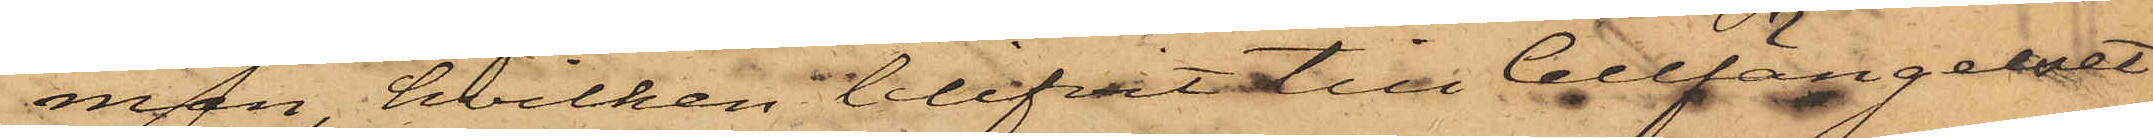man, hvilken blifvit till Cellfängelset
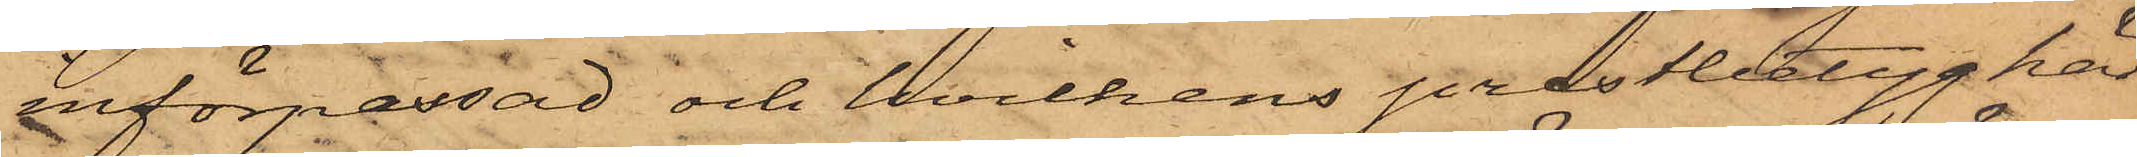införpassad och hvilkens prestbetyg här
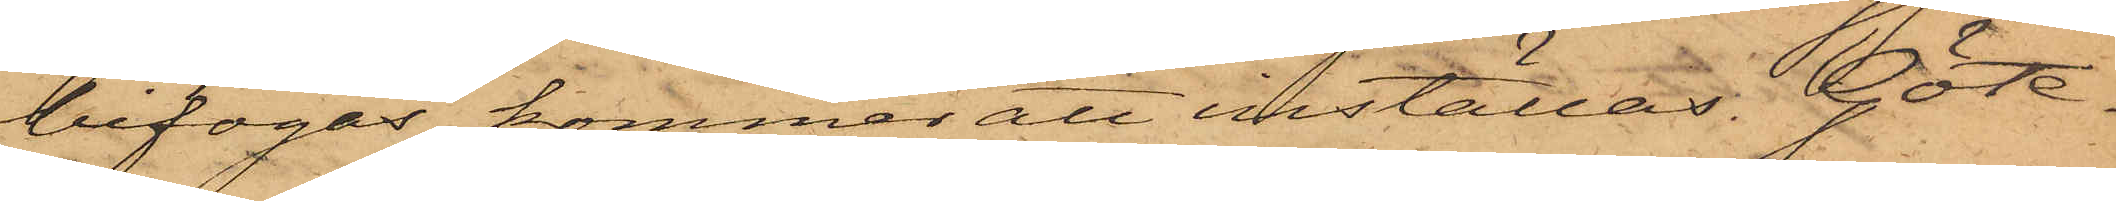bifogas, kommer att inställas. Göte¬
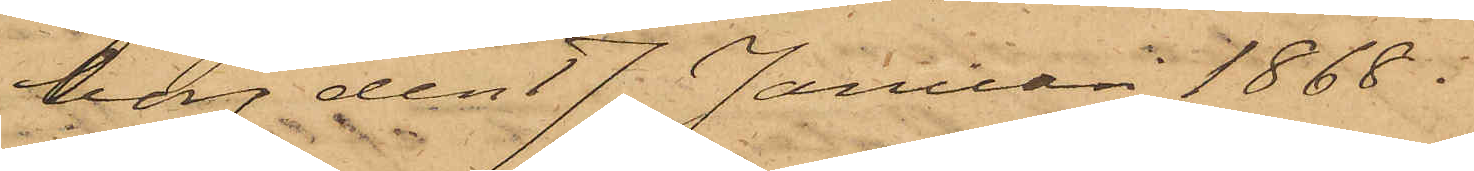borg den 17 Januari 1868.
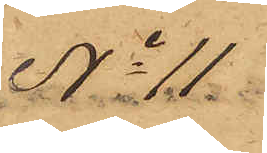No 11
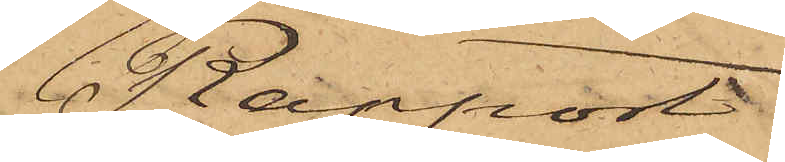Rapport.
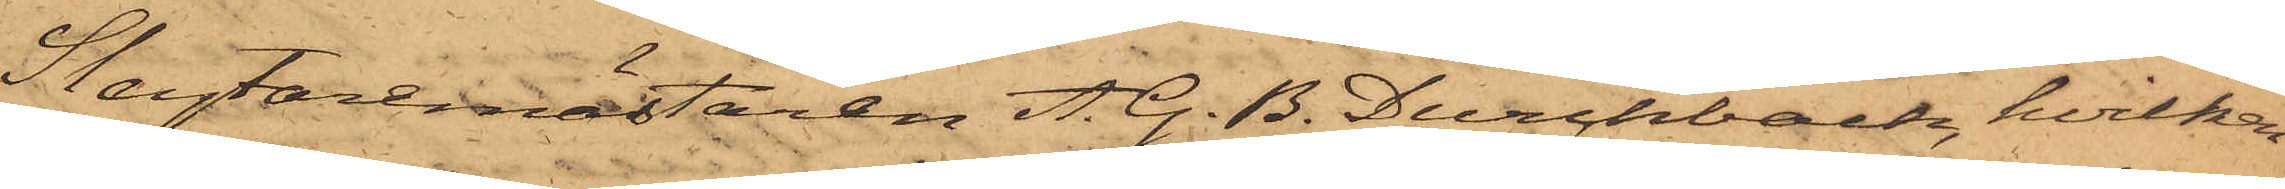Slagtaremästaren A. G. B. Durchbach, hvilken
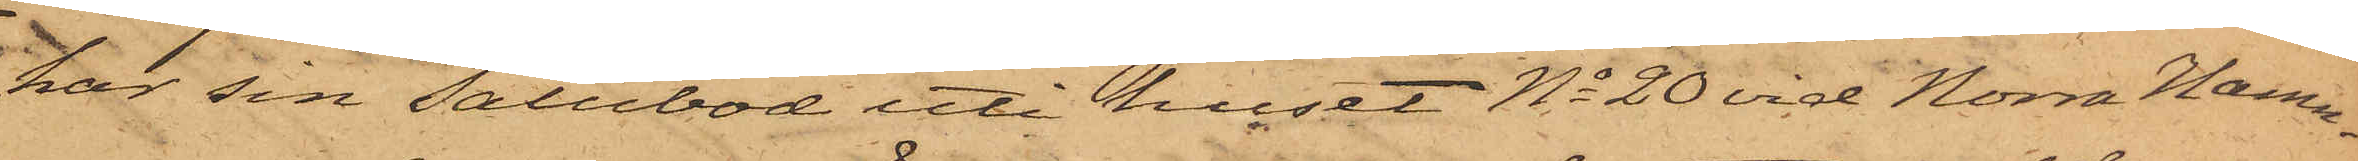har sin Salubod uti huset No 20 vid Norra Hamn¬
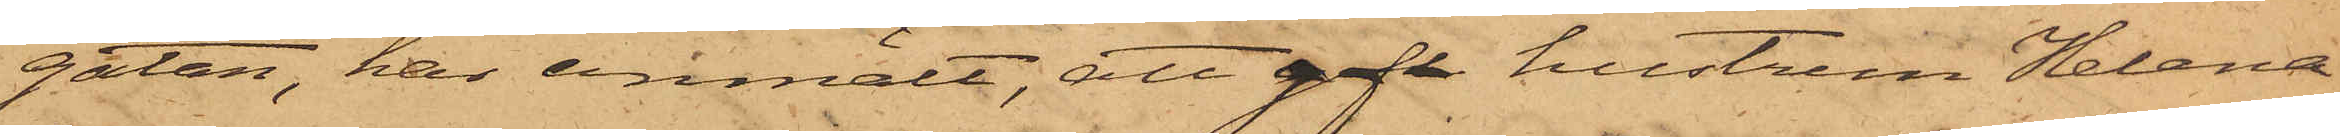gatan, har anmält, att gift hustrun Helena
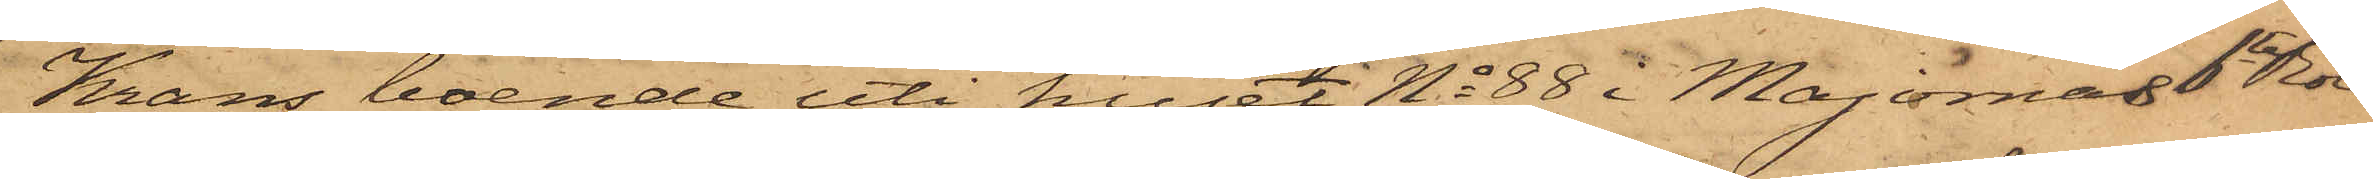Krans, boende uti huset No 88 i Majornas 6te Rote
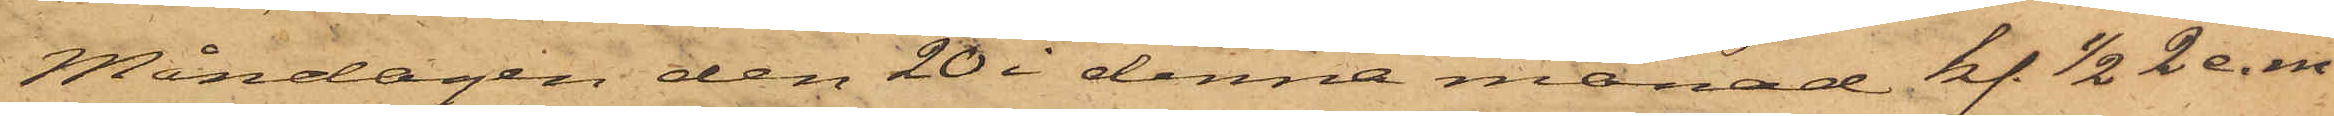Måndagen den 20 i denna månad kl 1/2 2 e. m
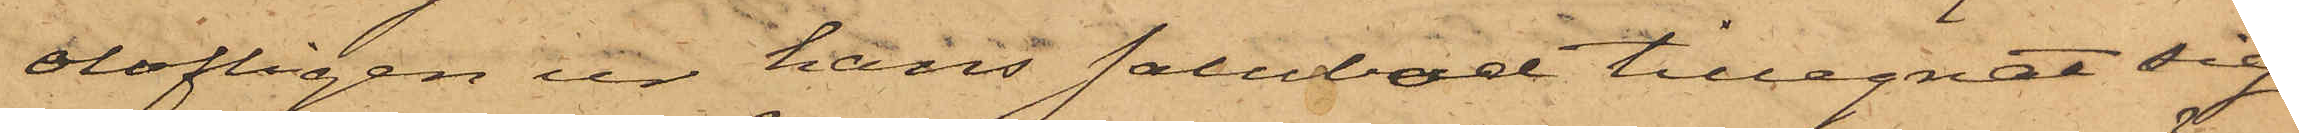olofligen ur hans salubod tillegnat sig
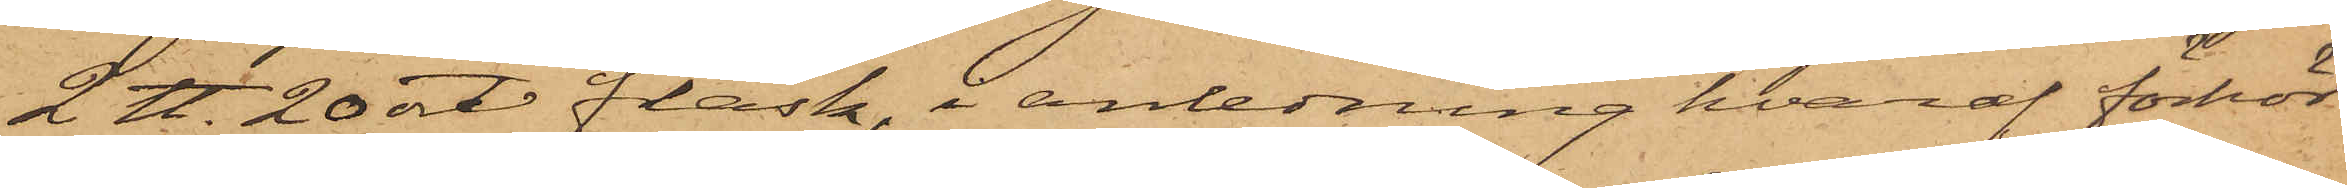2 ℔ 20 ort fläsk, i anledning hvaraf förhör
